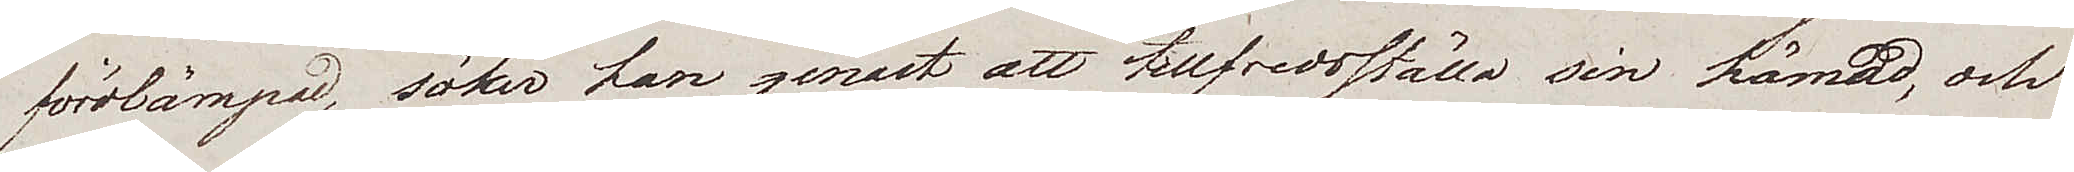förolämpad, söker han genast att tillfredsställa sin hämnd, och
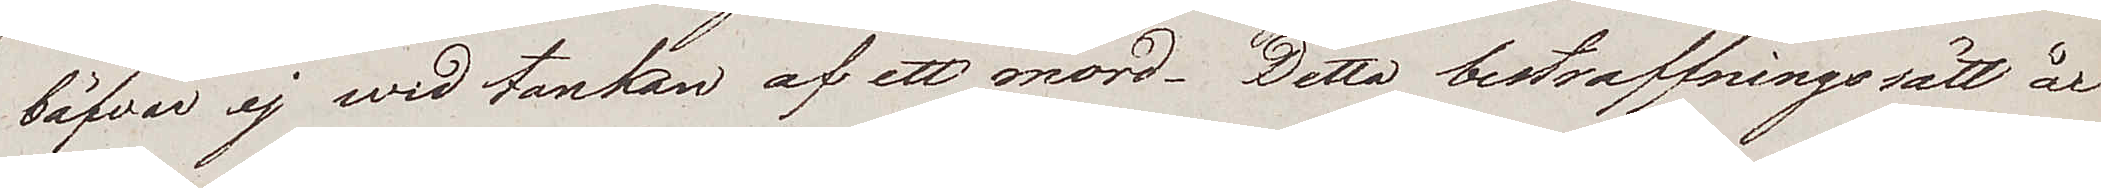båfvar ej wid tanken af ett mord. Detta bestraffningssätt år
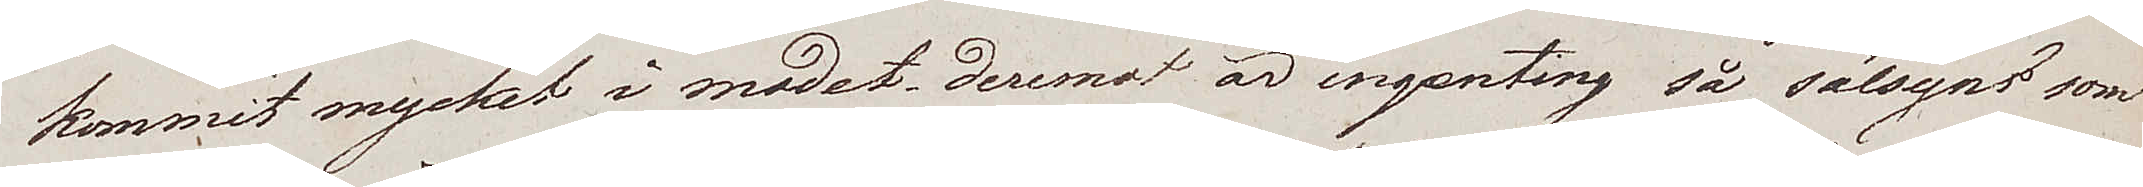kommit mycket i modet; deremot är ingenting så sälsynt som
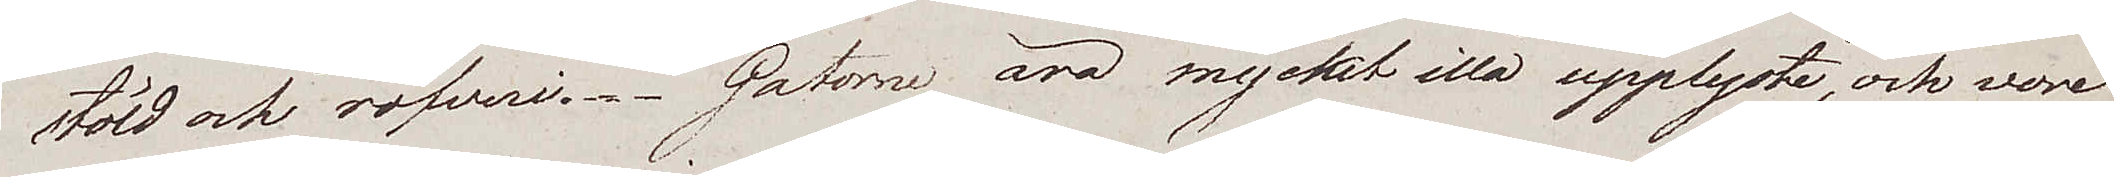stöld och röfveri. Gatorne äro mycket illa upplyste, och vore
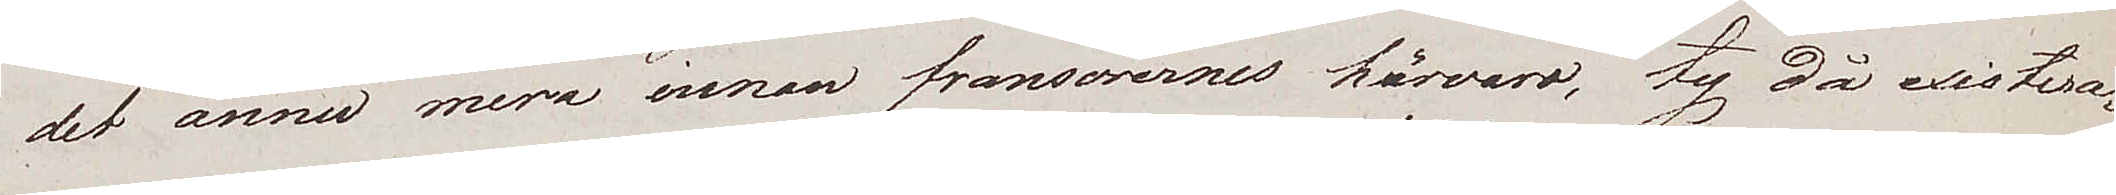det ännu mera innan fransorernes härvaro, ty då existera¬
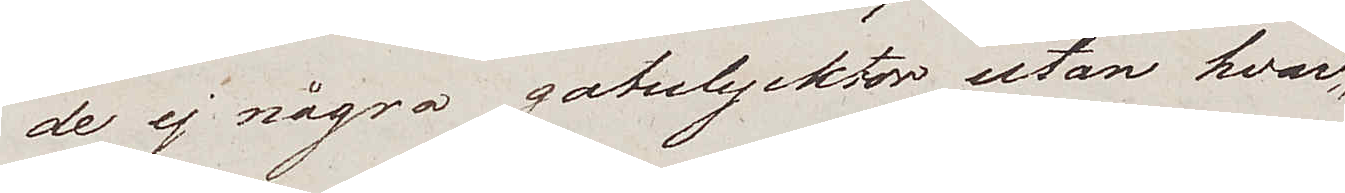de ej några gatulycktor utan hvar
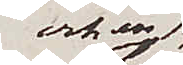och en
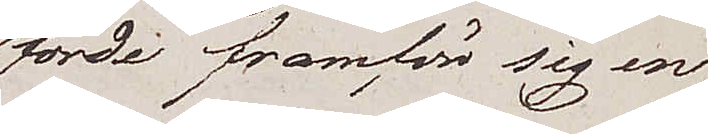förde framför sig en
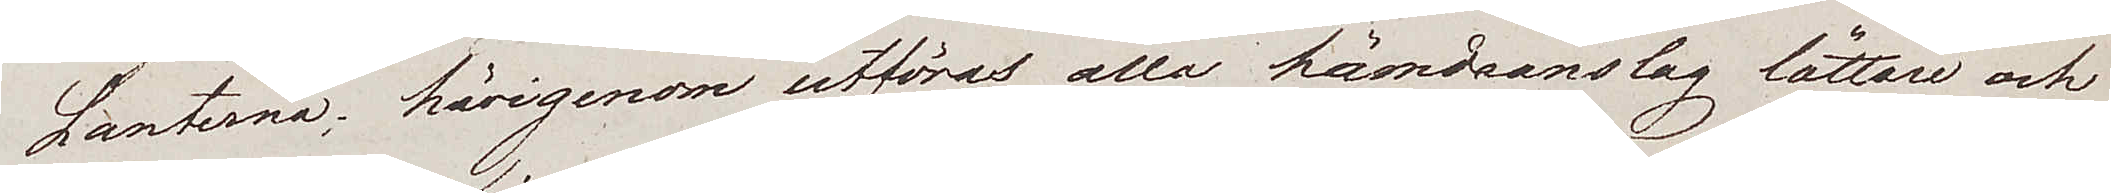Lanterna; härigenom utföras alla hämdsanslag lättare och
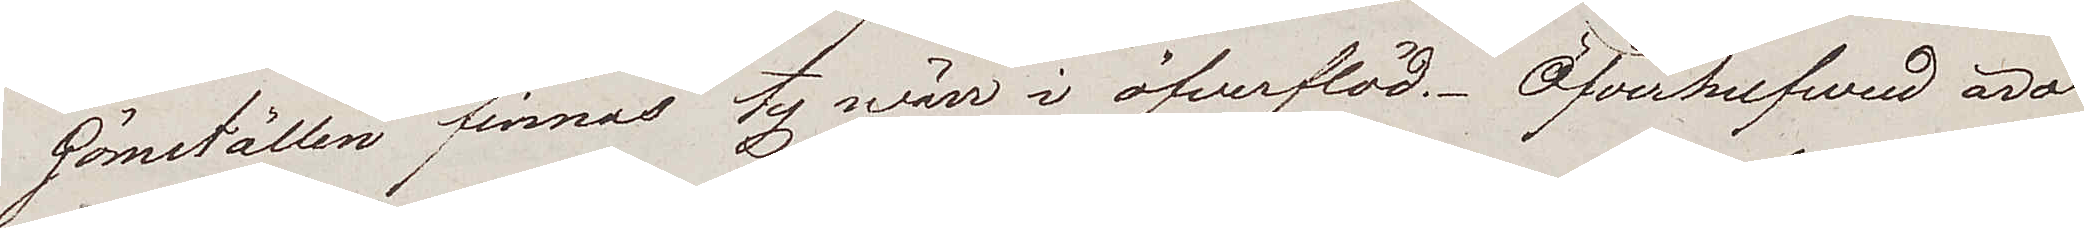Gömställen finnas ty wärr i öfverflöd. Öfverhufvud äro
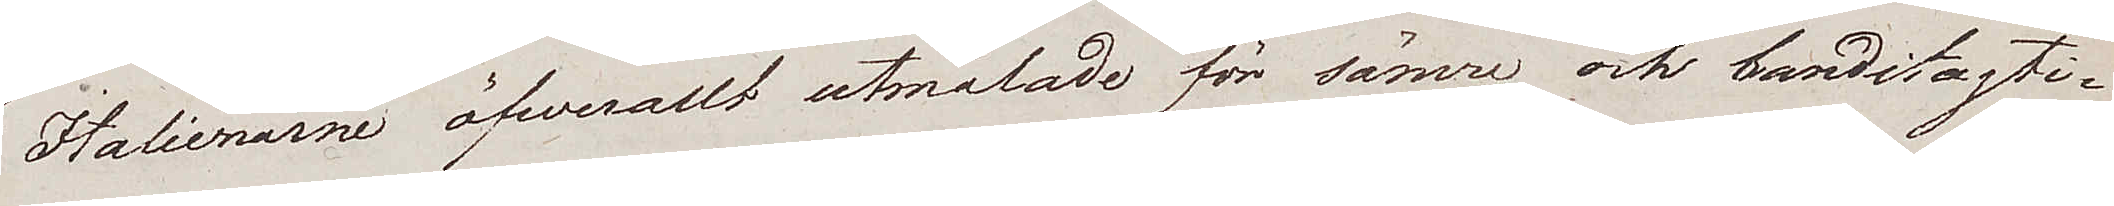Italienarne öfwerallt utmålade för sämre och banditagti¬
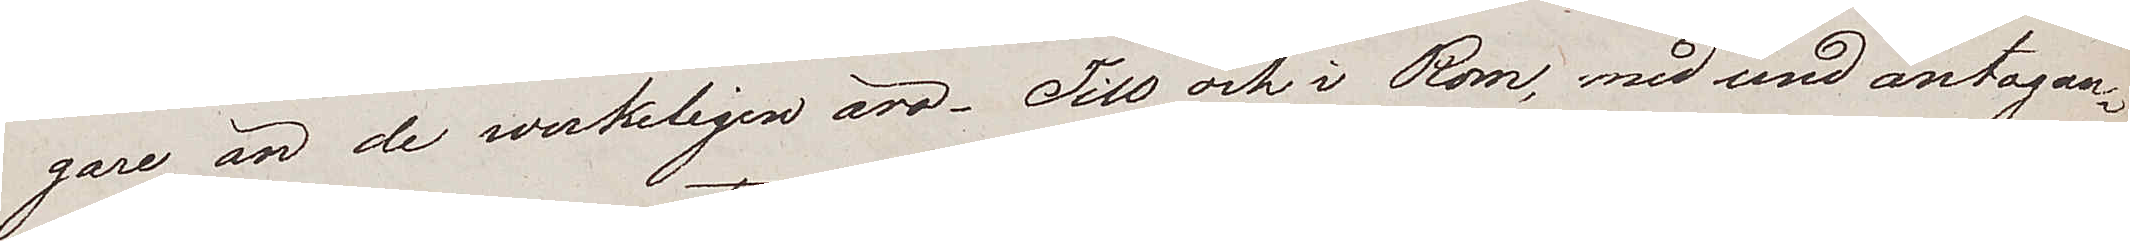gare än de väkligen äro. Till och i Rom, med undantagan¬
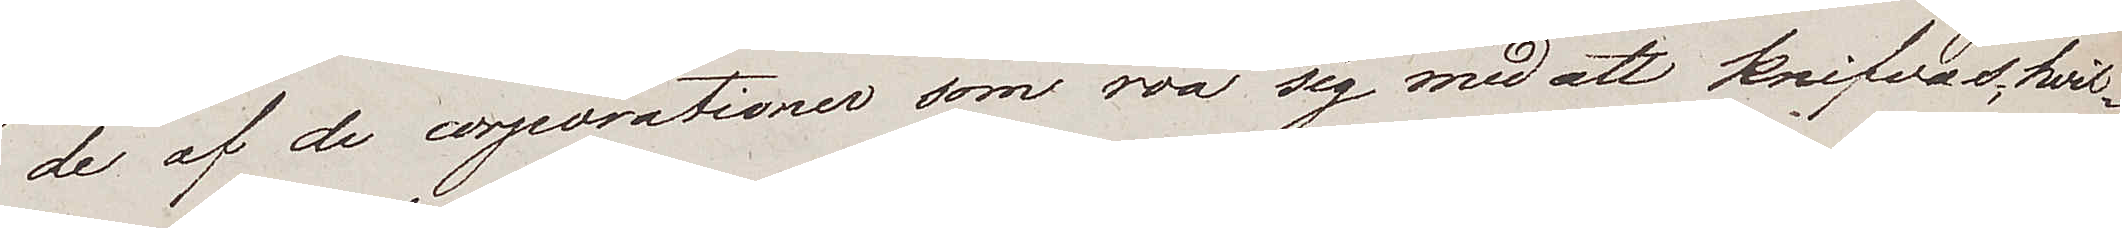de af de corporationer som roa sig med att knifvas, hvil¬
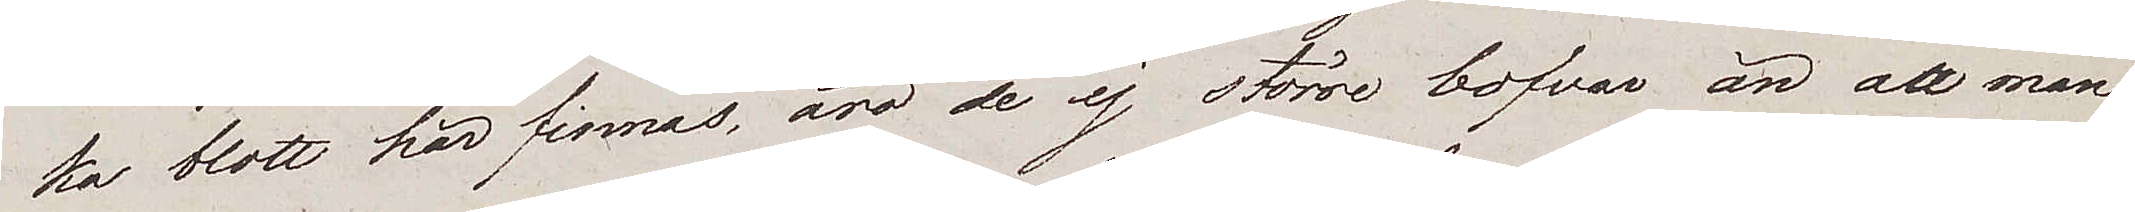ka blott här finnas, äro de ej större bofvar än att man
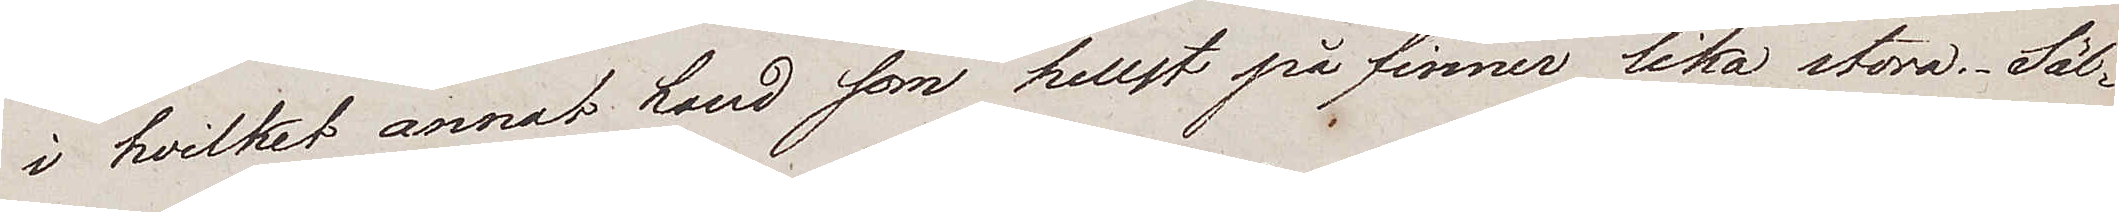i hvilket annat Land som hellst på finner lika stora. Säl¬
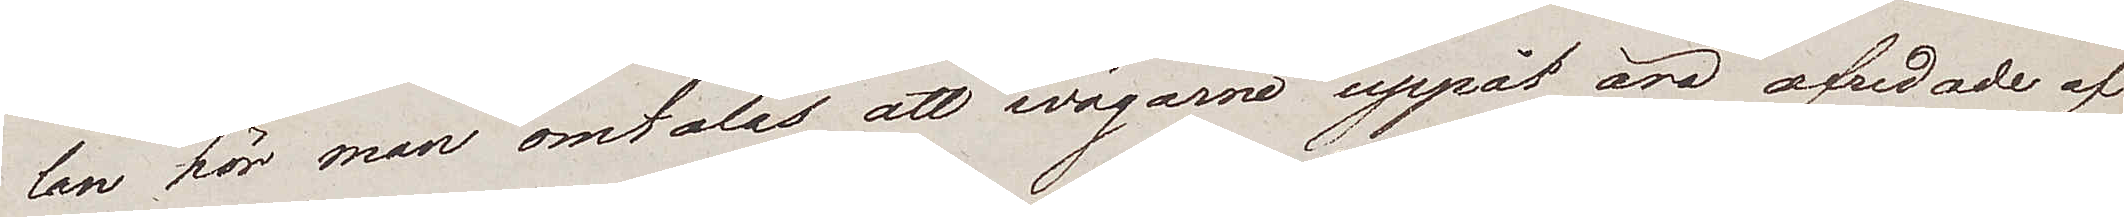lan hör man omtalas att wägarne uppåt äro ofredade af
